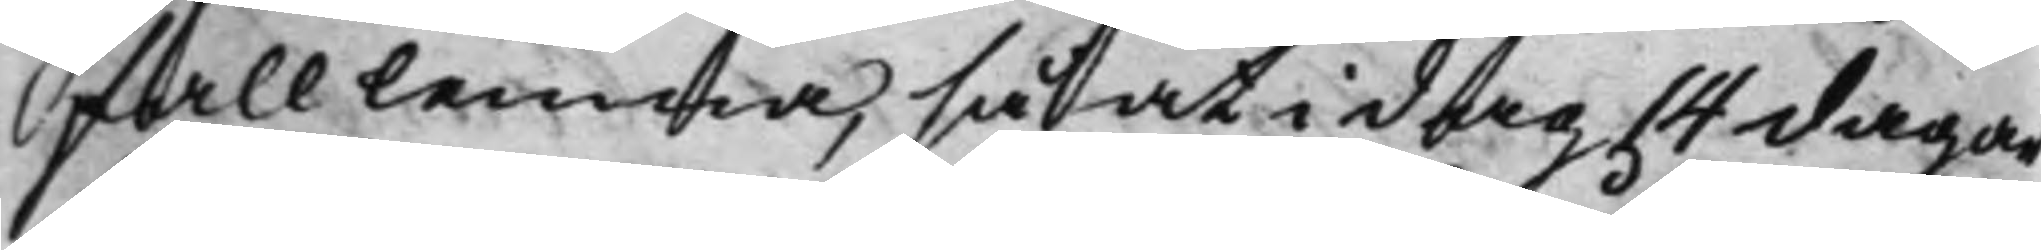fall lemna, så at i dag 14 dagar
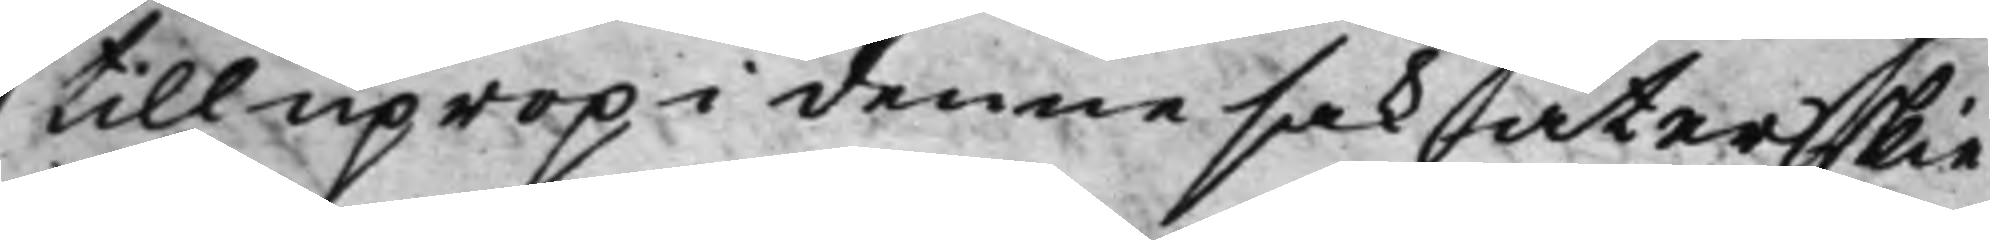till uprop i denne sak återskie
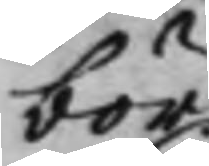bör.
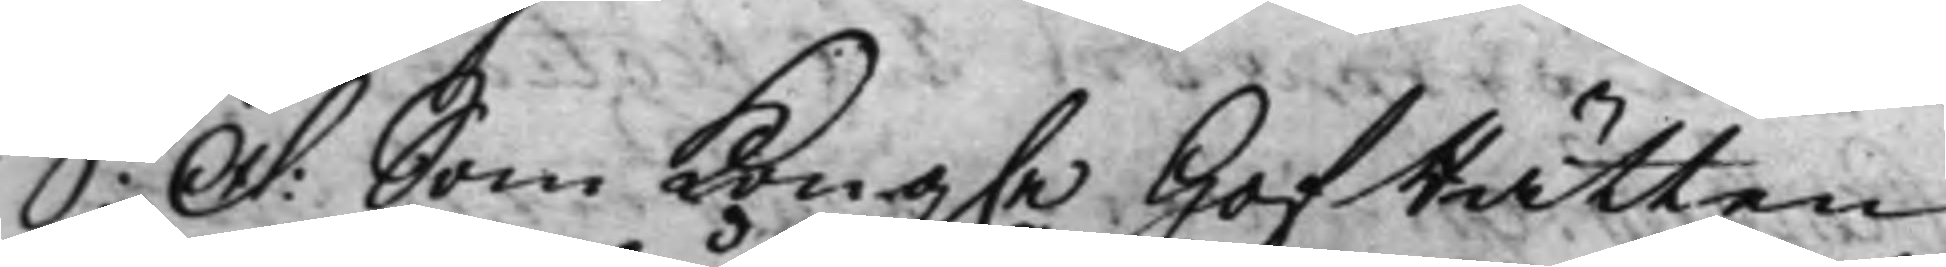S: D: Som Kong.e HofRätten
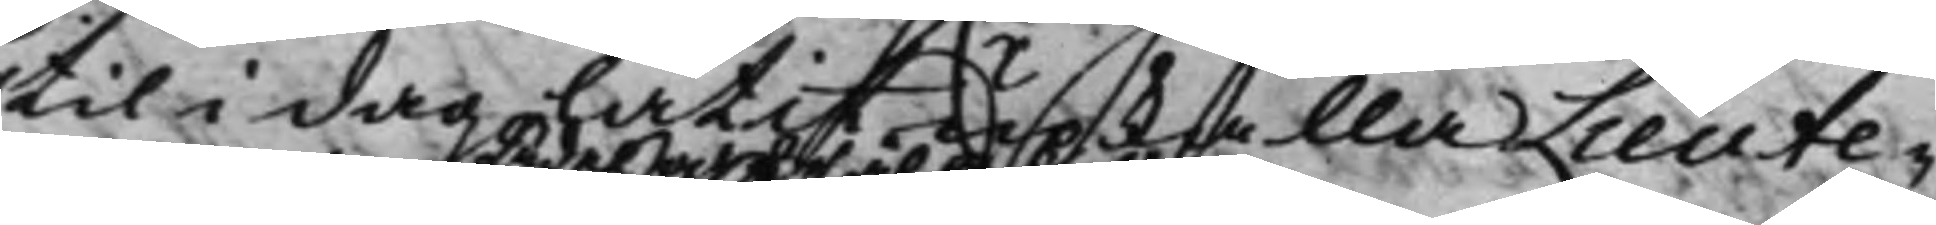til i dag låtit upkalla Lieute¬
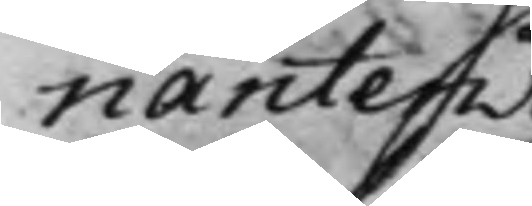nanten
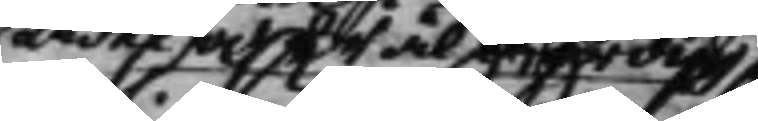Ädel och Wälbördig
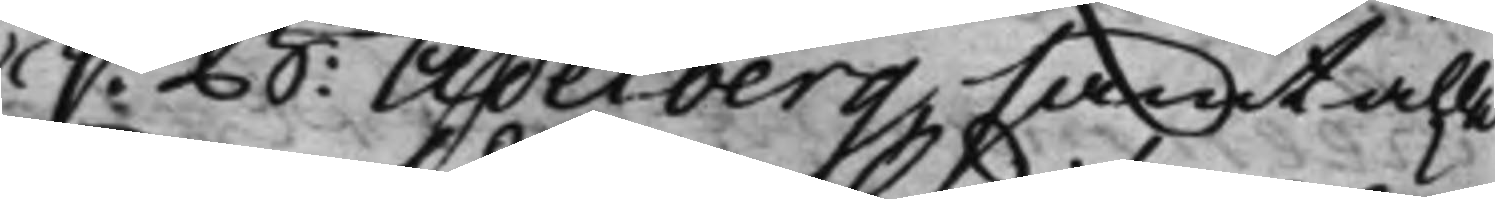C: B: Ädelberg, samt alle
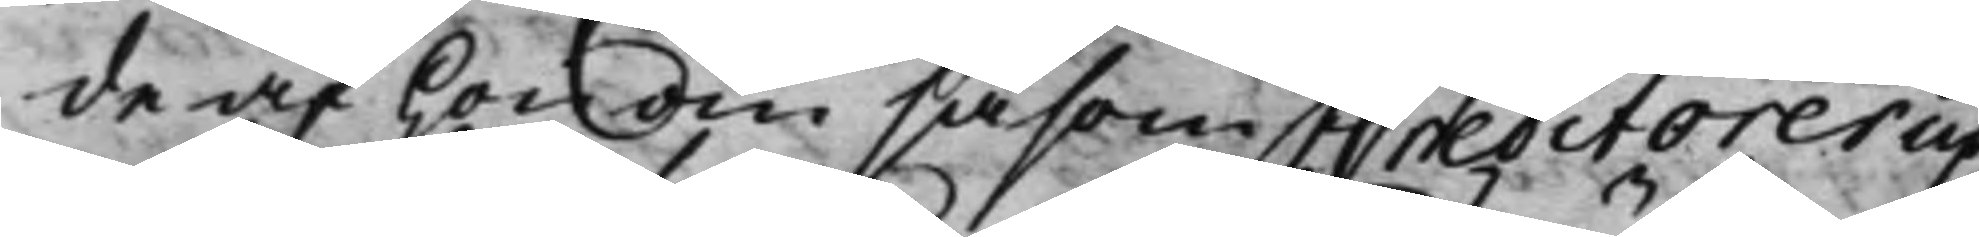de af honom såsom Creditorer up¬
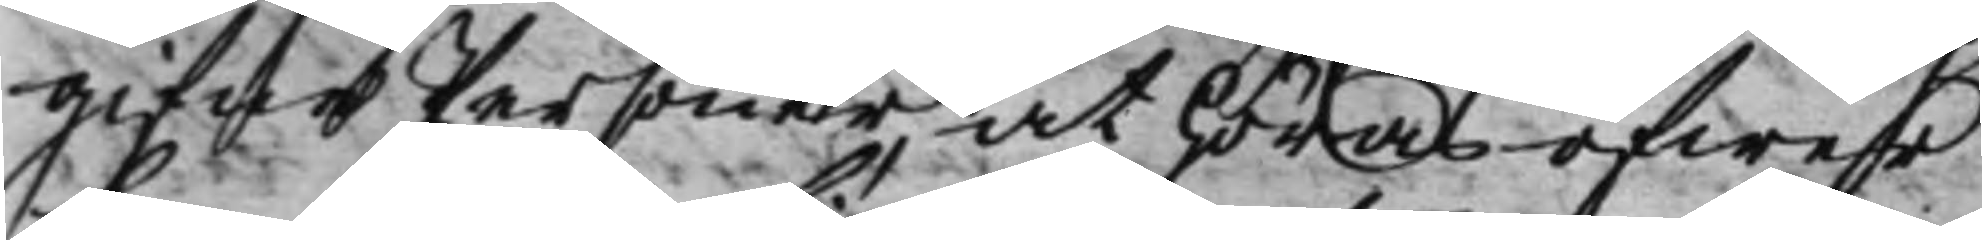gifne Personer, at höras öfwer
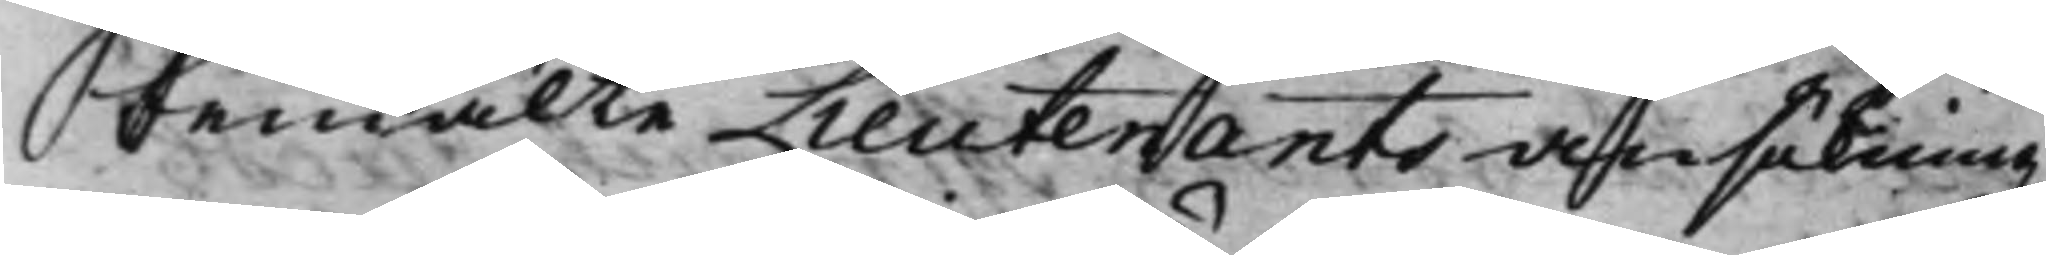bemälte Lieutenants ansökning
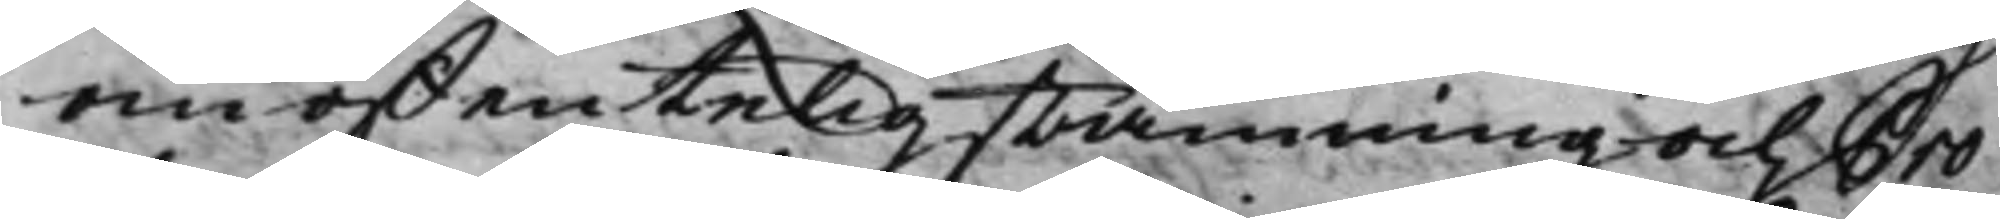om offentelig stämning och Pro¬
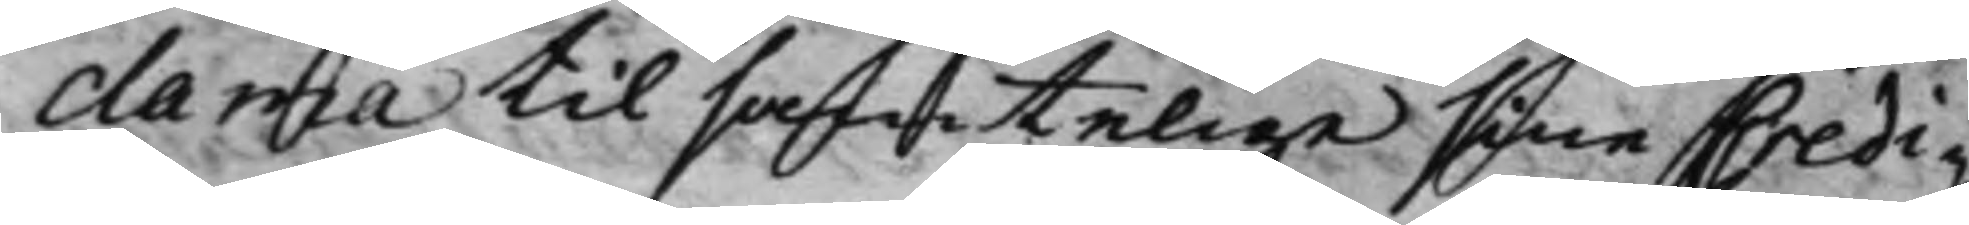clama til samtelige sine Credi¬
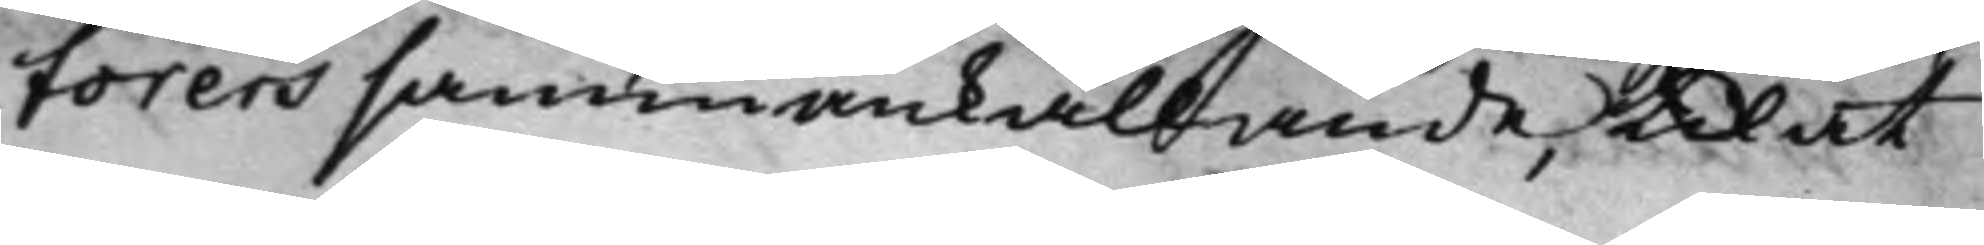torers sammankallande, til at
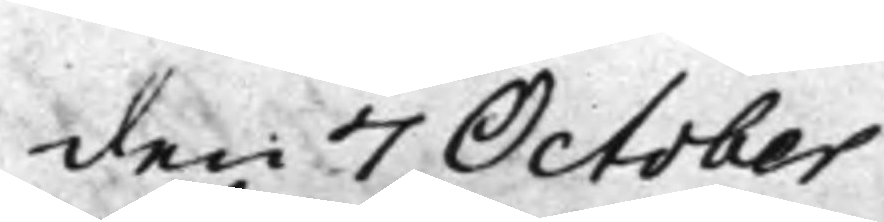den 7 October
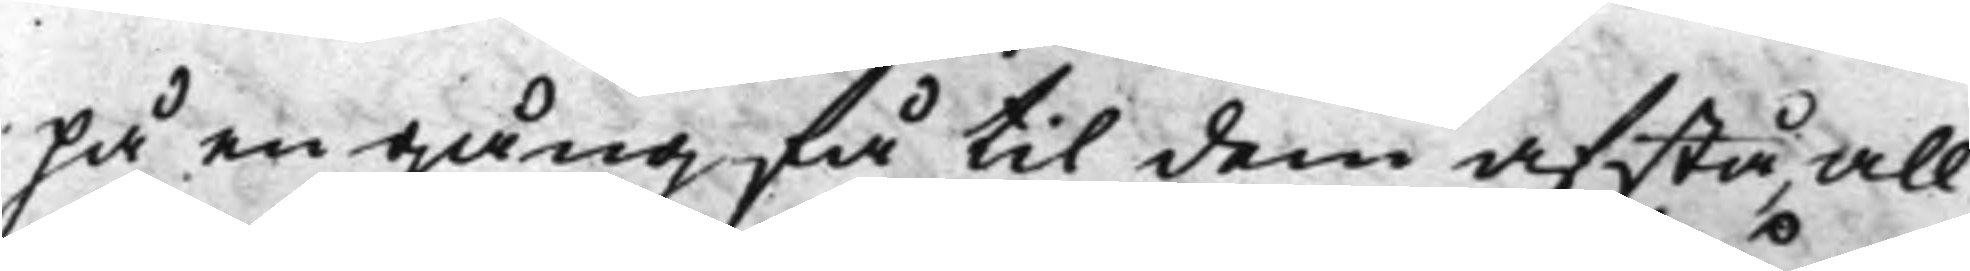på en gång få til dem afstå, all
